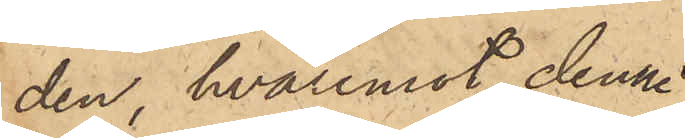den, hvaremot denne
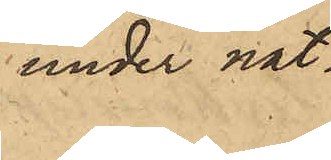under nat¬
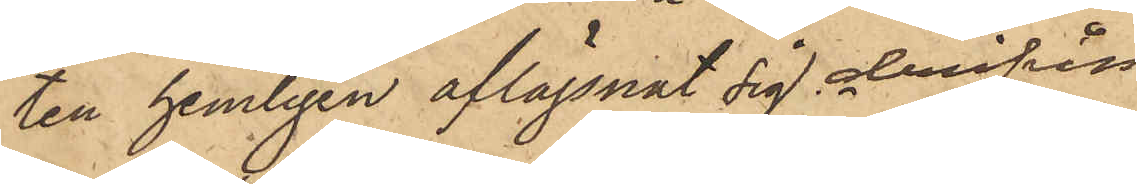ten hemligen aflägsnat sig derifrån.
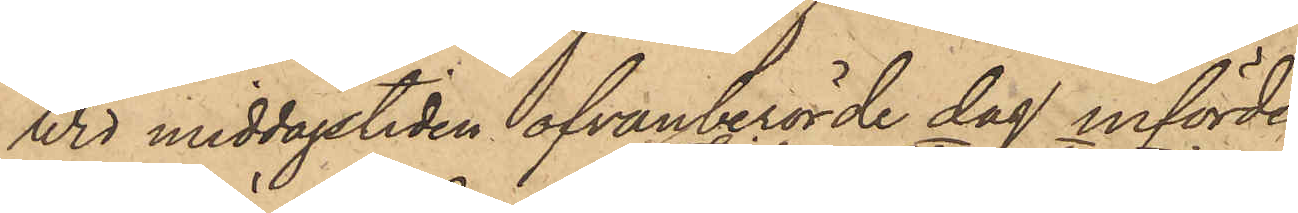Wid middagstiden ofvanberörde dag införde
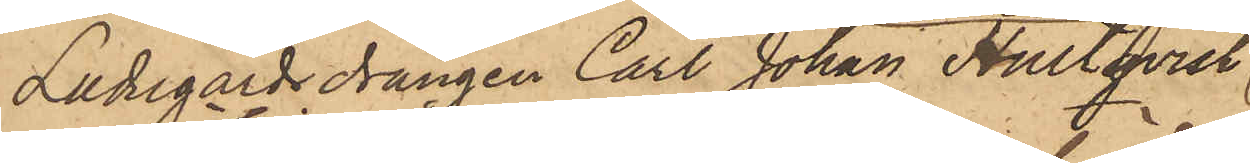Ladugårdsdrängen Carl Johan Hultqvist
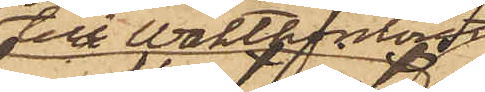till waktkontoret
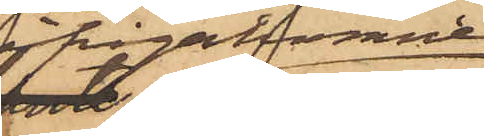ifrågavarande
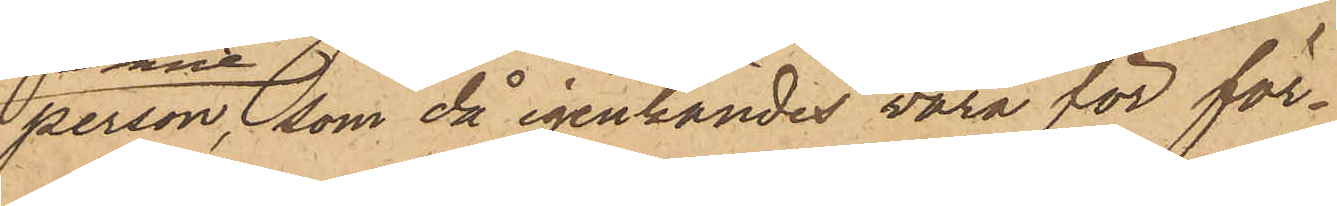person, som då igenkändes vara för för¬
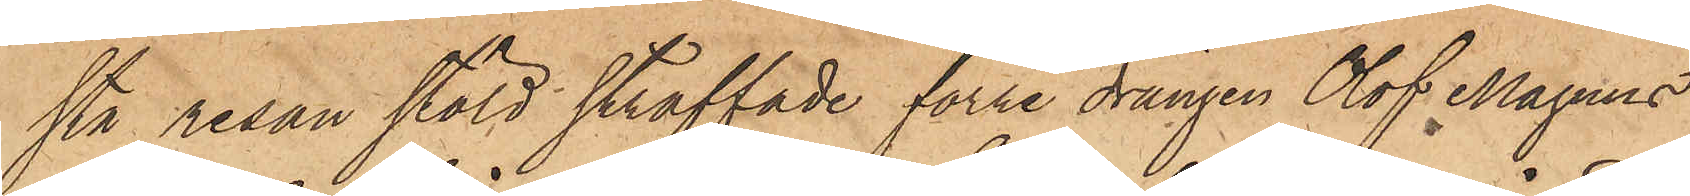sta resan stöld straffade förre drängen Olof Magnus
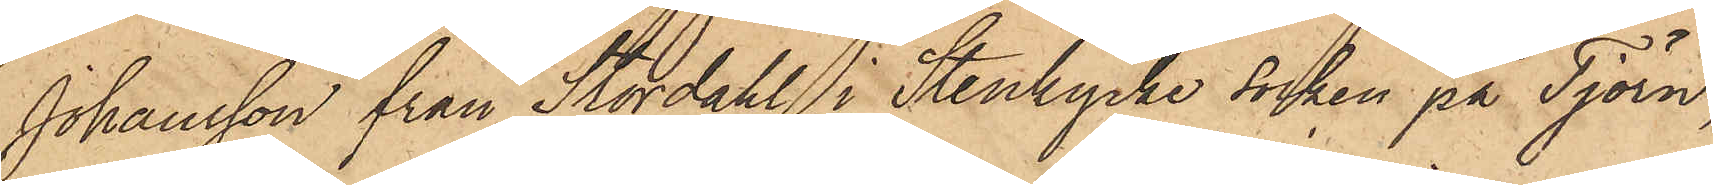Johansson från Stordahl i Stenkyrke socken på Tjörn,
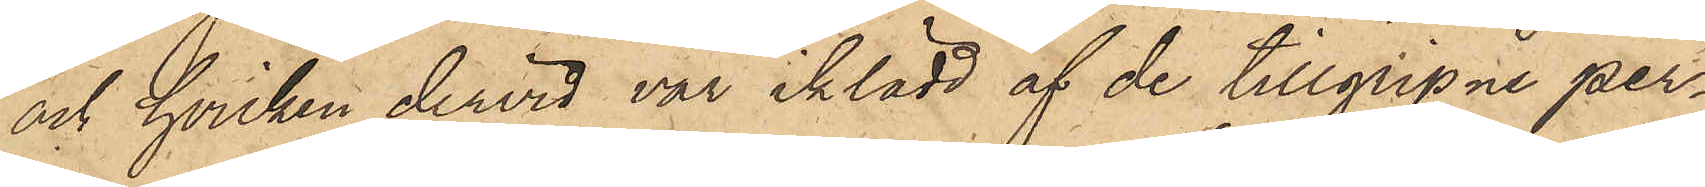och hvilken dervid var iklädd af de tillgripne per¬
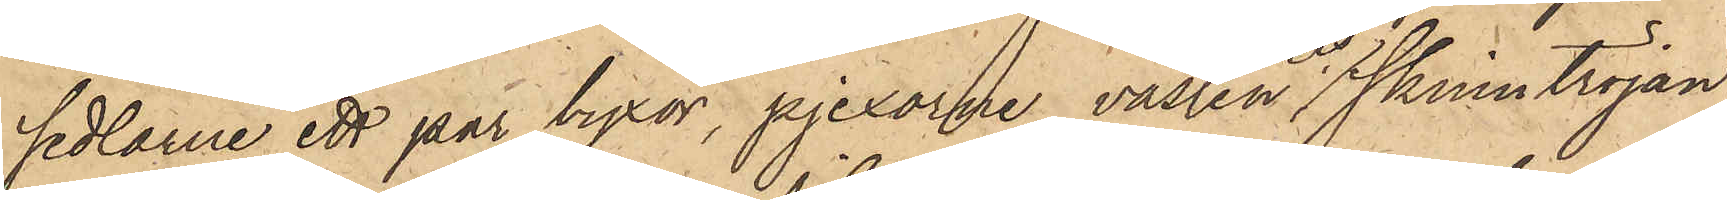sedlarne ett par byxor, pjexorne, västen och skinntröjan;
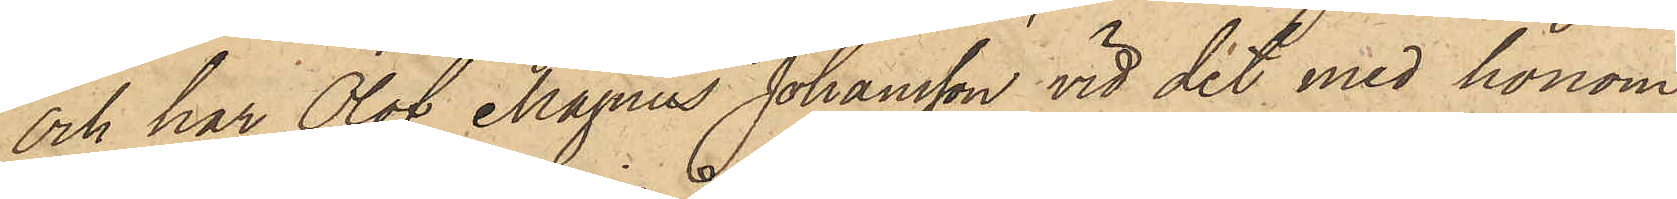och har Olof Magnus Johansson vid det med honom
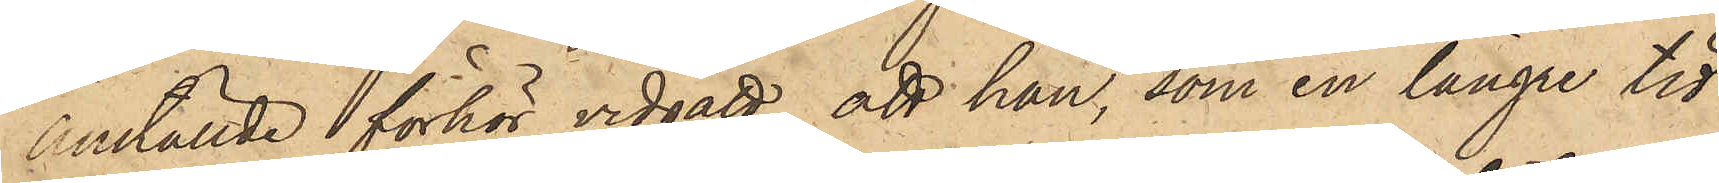anställde förhör vidgått, att han, som en längre tid
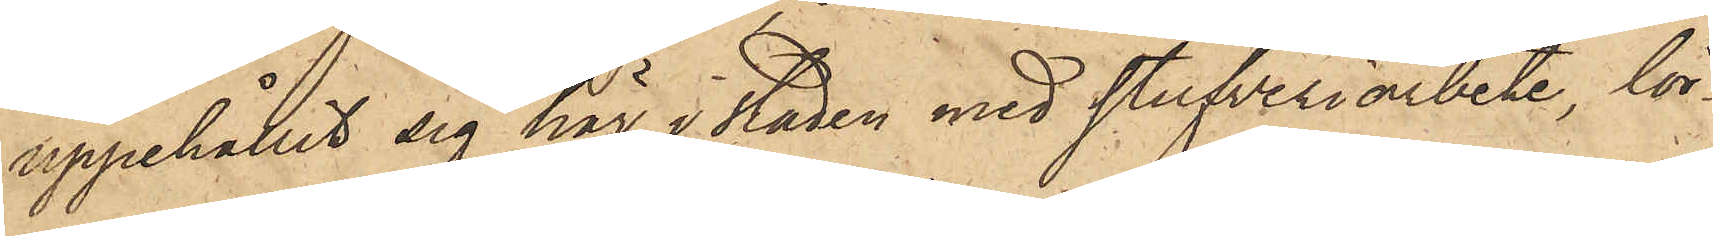uppehållit sig här i staden med stufveriarbete, lör¬
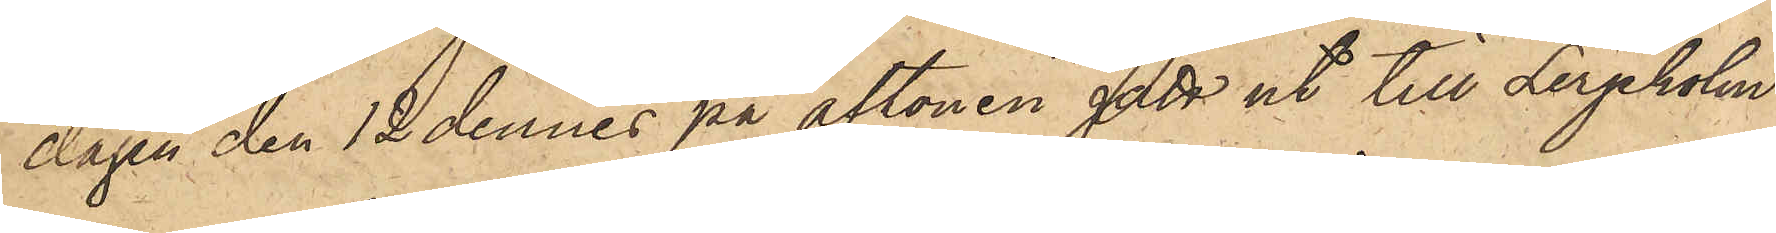dagen den 12 dennes på aftonen gått ut till Lerjeholm
